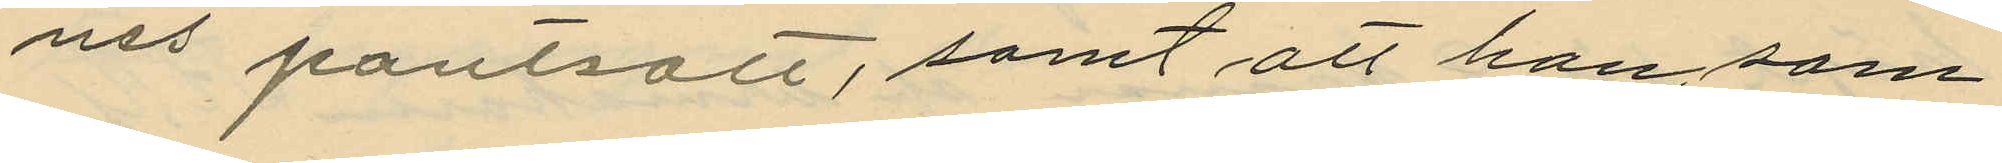nes pantsatt, samt att han, som
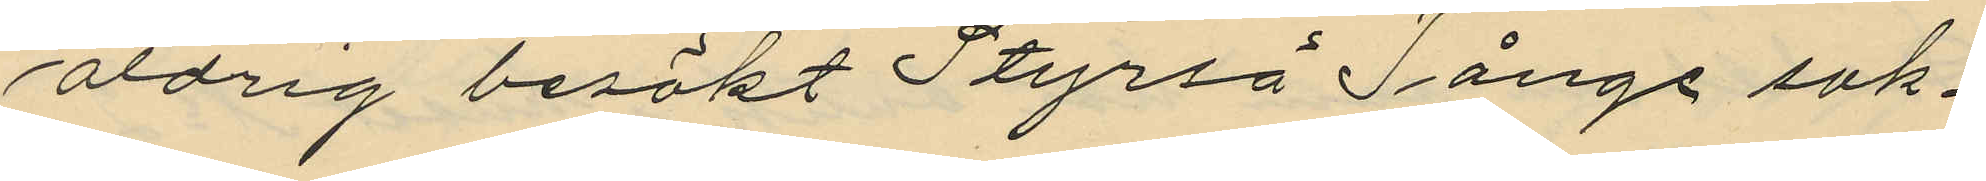aldrig besökt Styrsö Tånge sak¬
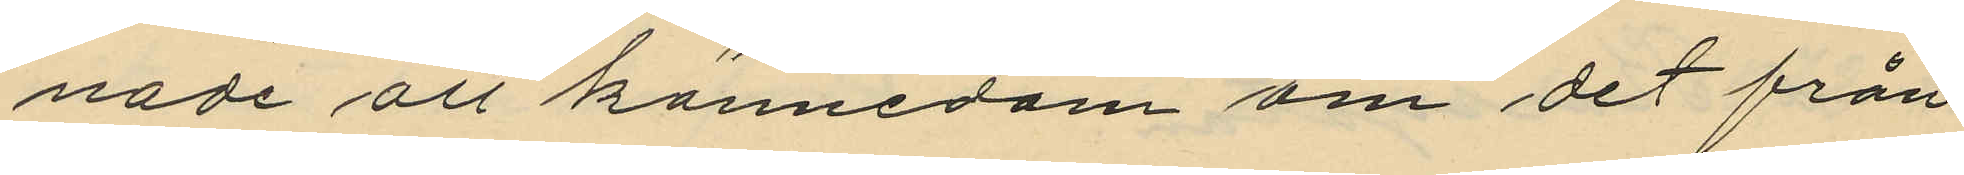nade all kännedom om det från
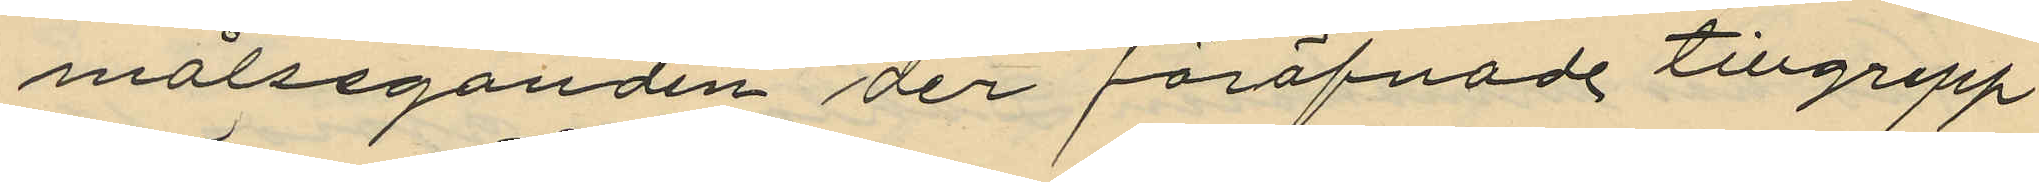målseganden der föröfvade tillgrepp.
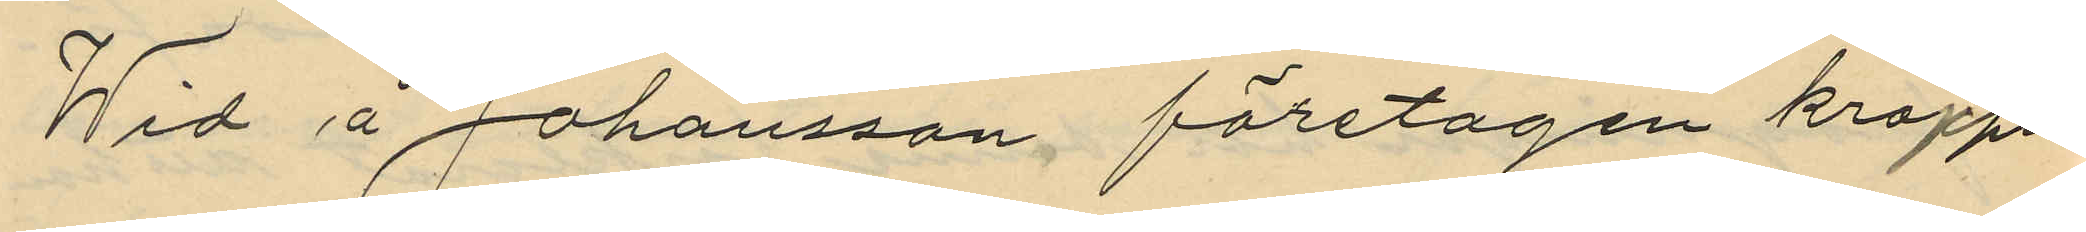Wid å Johansson företagen kropps¬
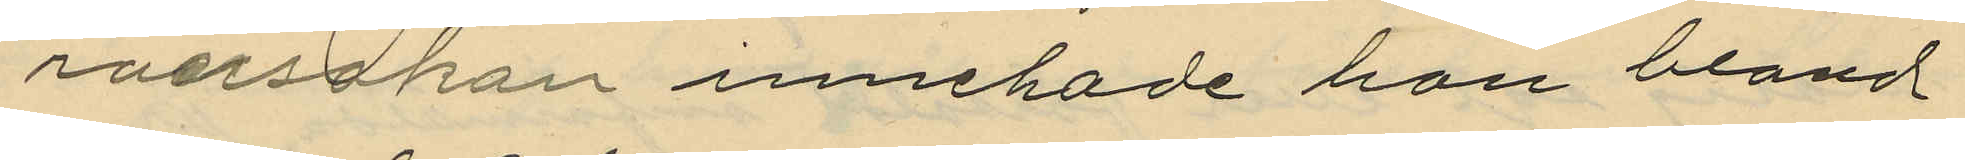ransakan innehade han bland
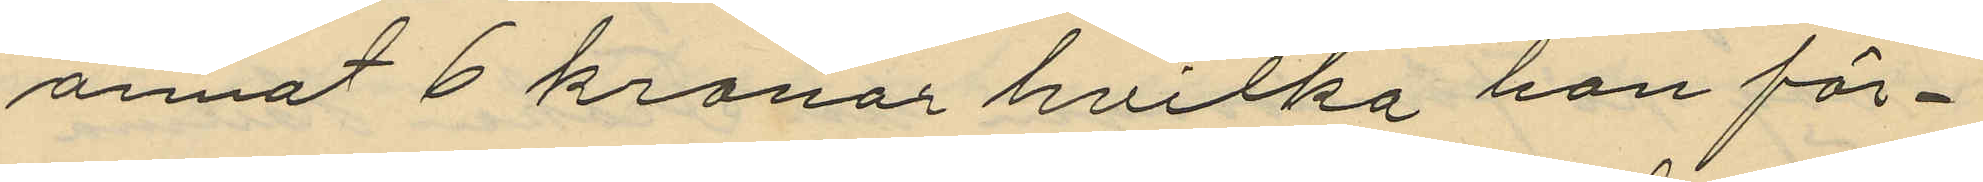annat 6 kronor hvilka han för¬
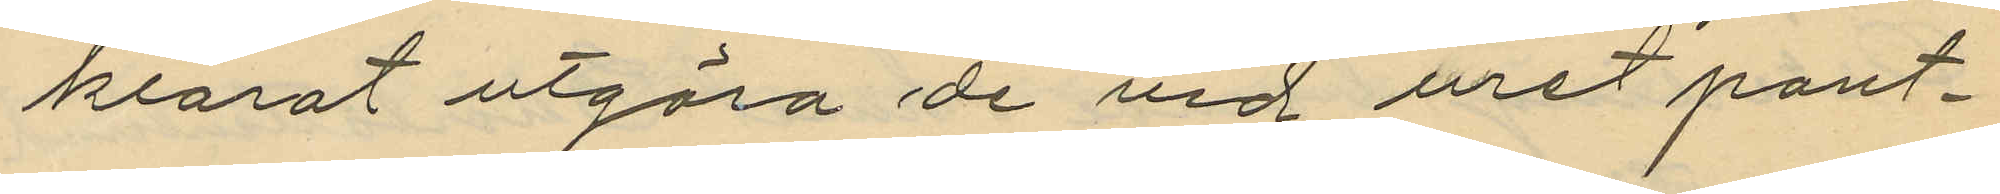klarat utgöra de vid uret pant¬
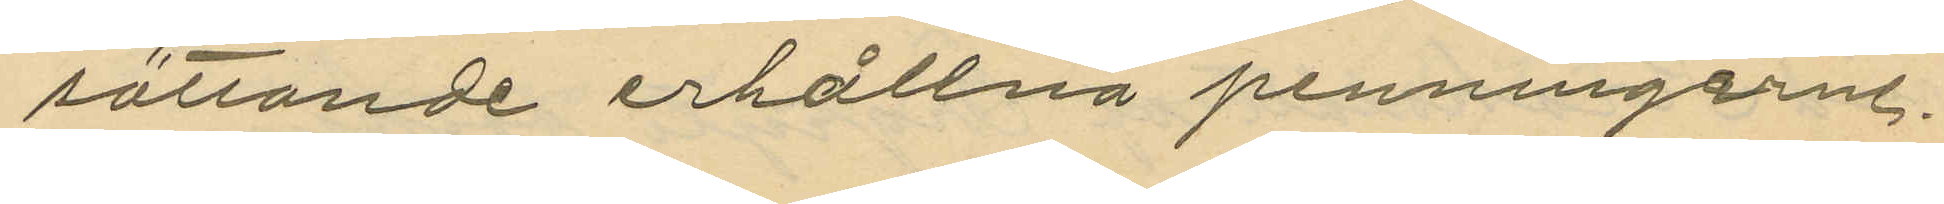sättande erhållna penningarne.
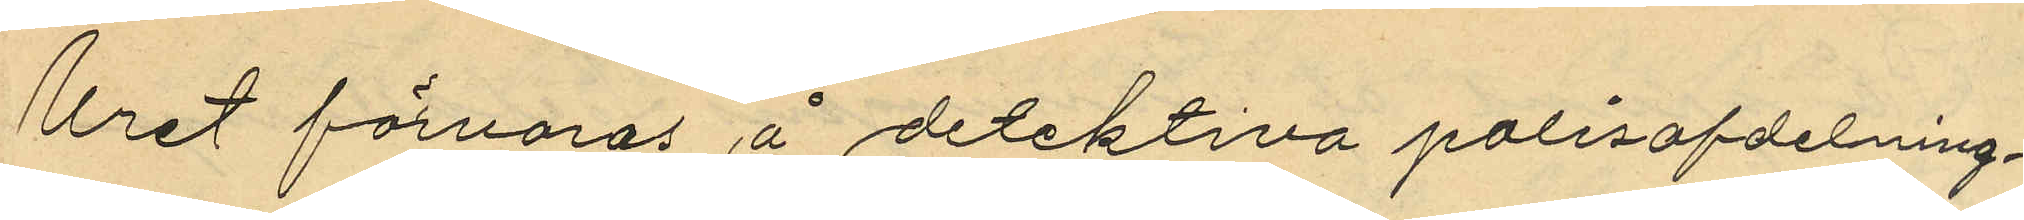Uret förvaras å detektiva polisafdelning¬
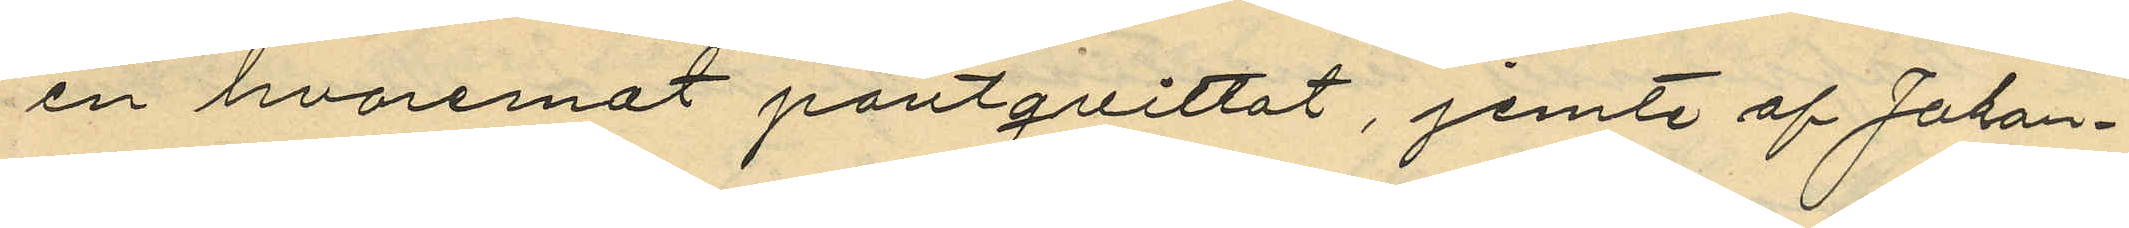en hvaremot pantqvittot, jemte af Johan¬
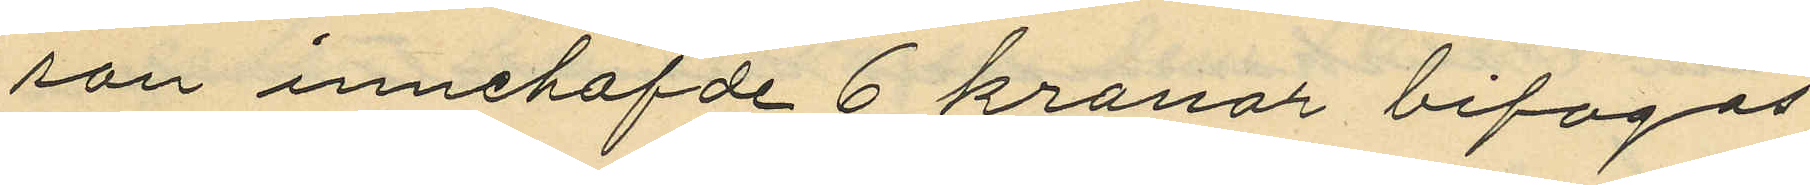son innehafde 6 kronor bifogas
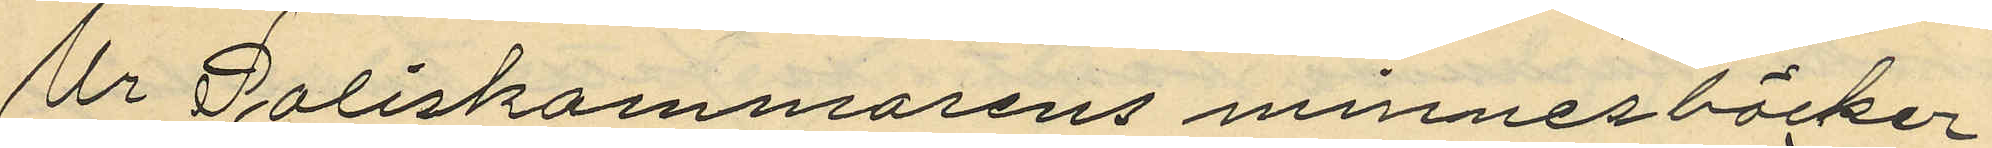Ur Poliskammarens minnesböcker
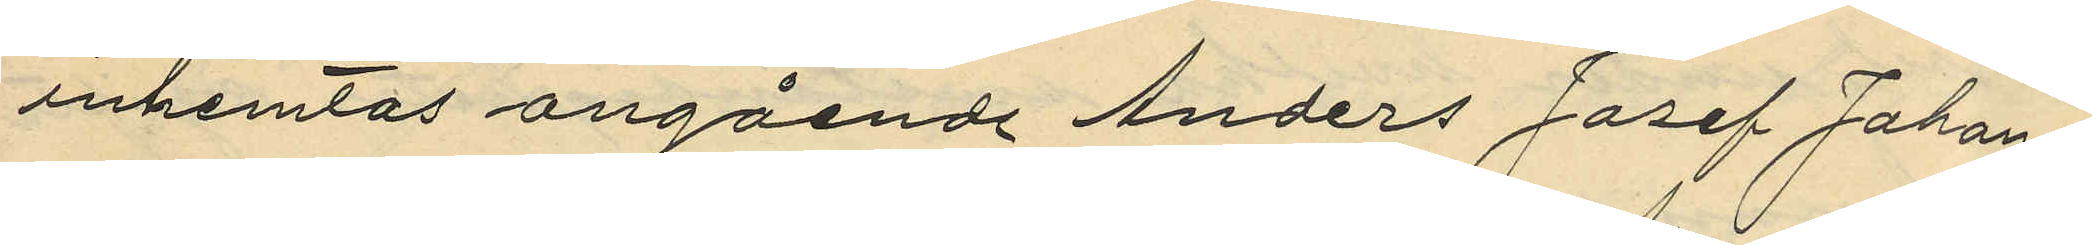inhemtas angående Anders Josef Johan¬
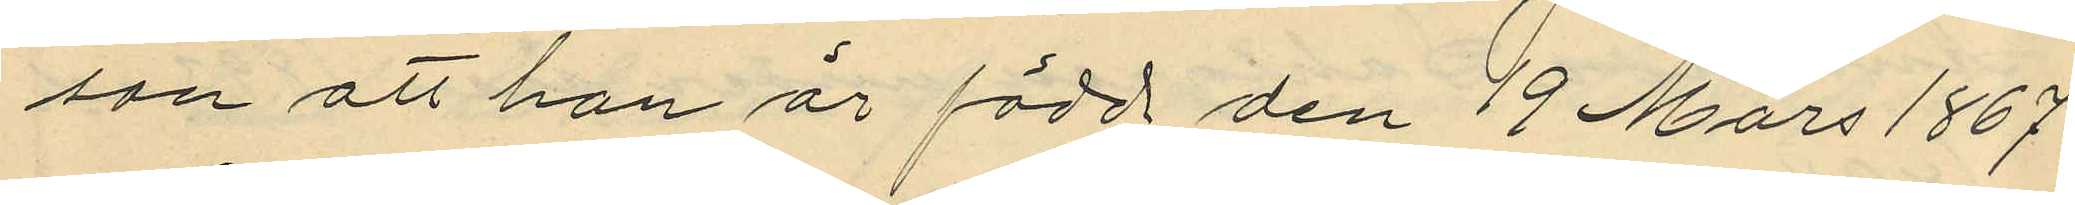son att han är född den 19 Mars 1867
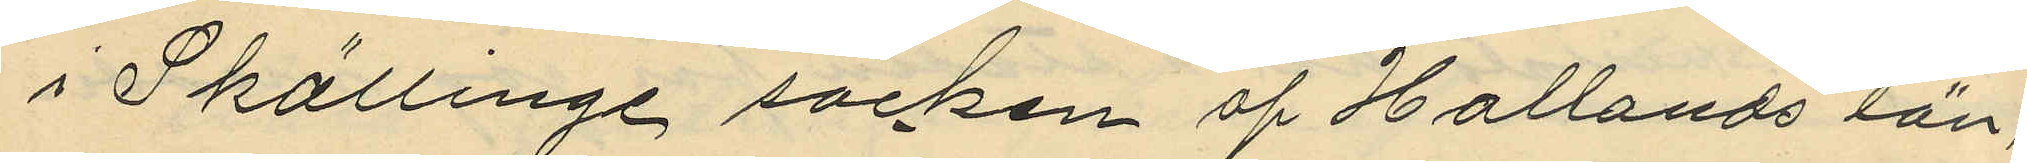i Skällinge socken af Hallands län,
